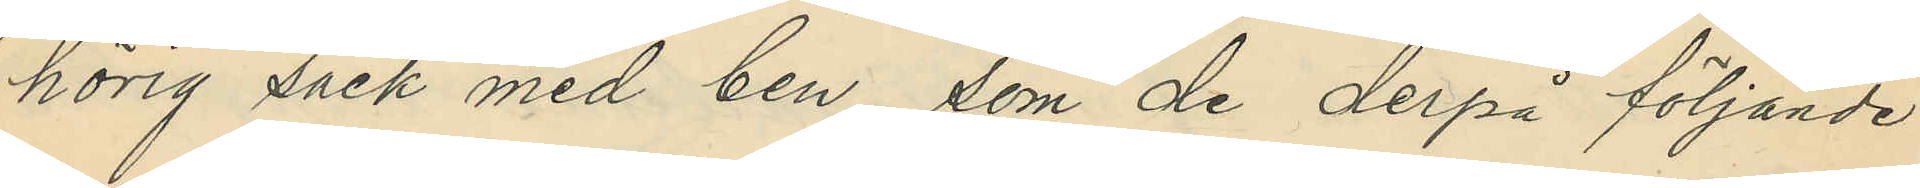hörig säck med ben, som de derpå följande
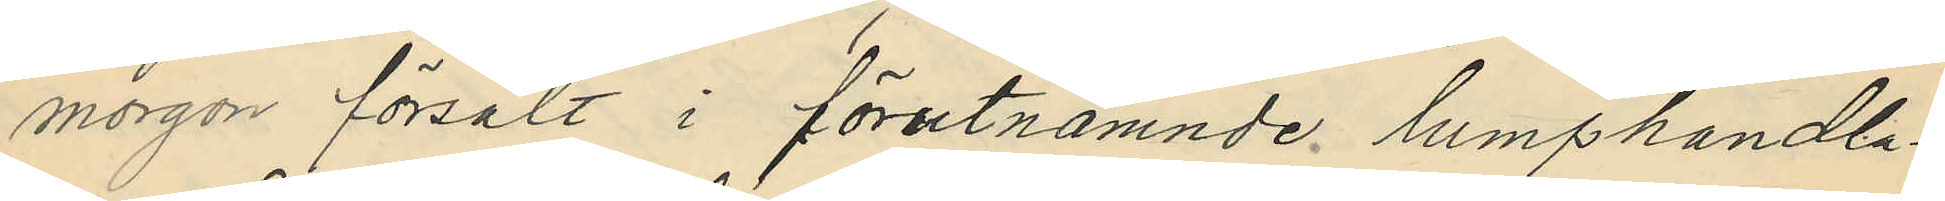morgon försålt i förutnämnde lumphandla¬
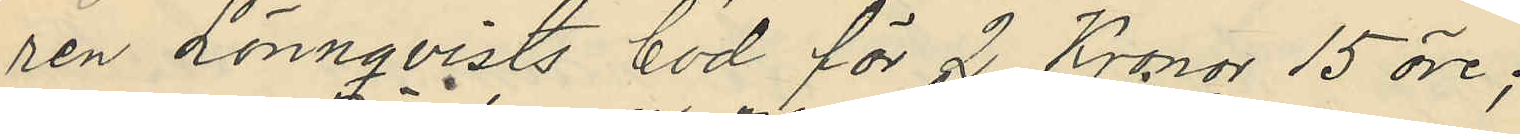ren Lönnqvists bod för 2 Kronor 15 öre;
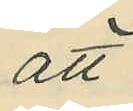att
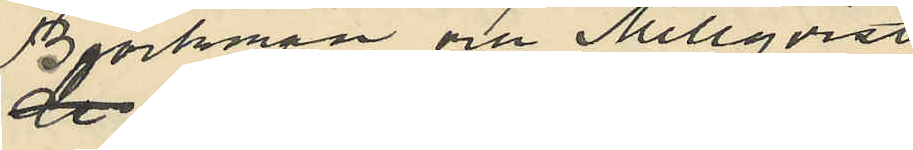de Björkman och Mellqvist
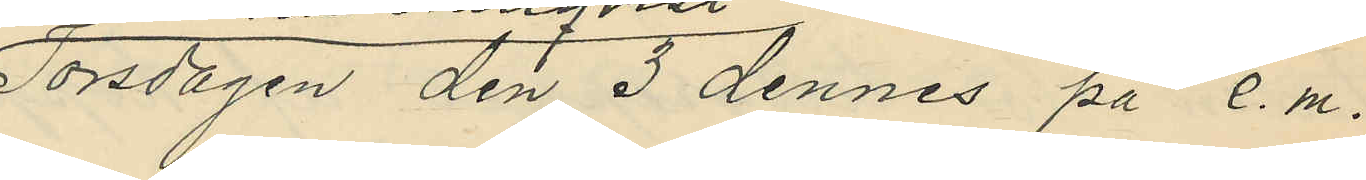Torsdagen den 3 dennes på e.m.
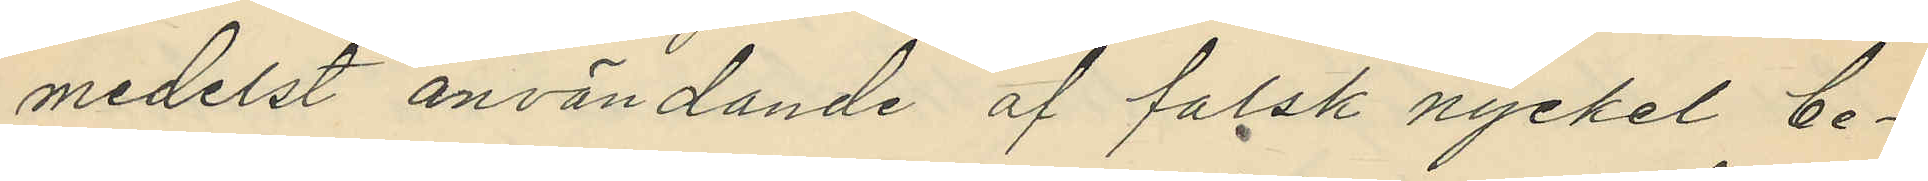medelst användande af falsk nyckel be¬
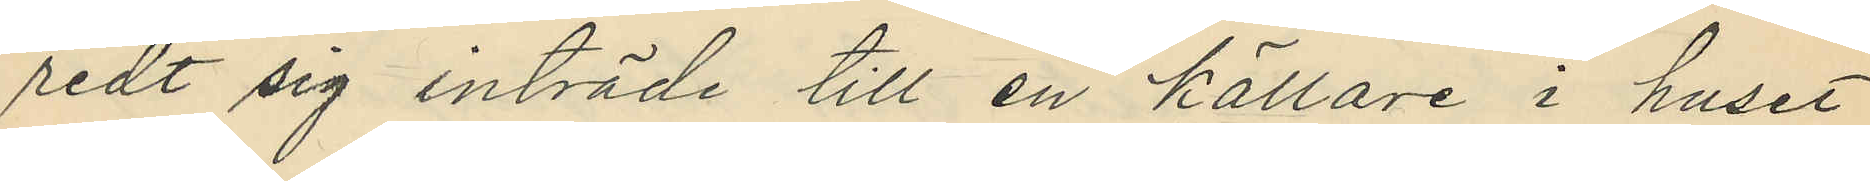redt sig inträde till en källare i huset
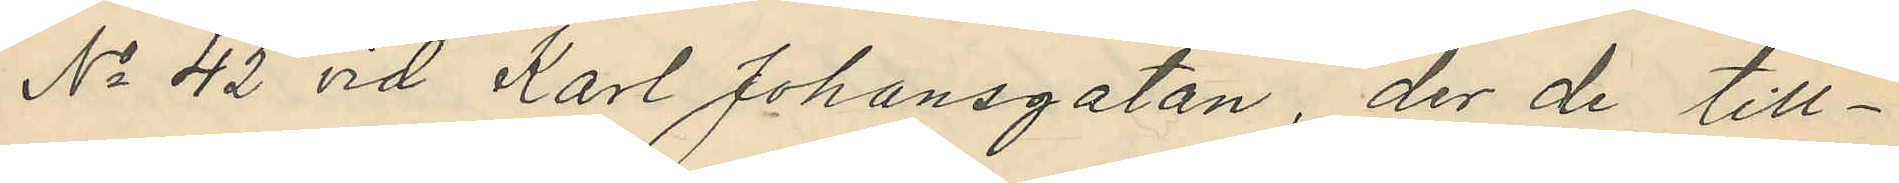No 42 vid Karl Johansgatan, der de till¬
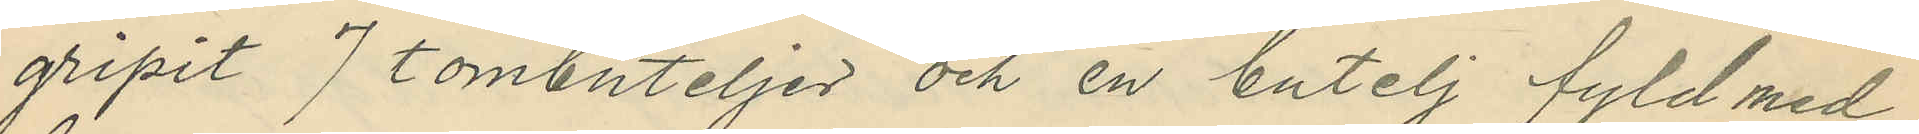gripit 7 tombuteljer och en butelj fyld med
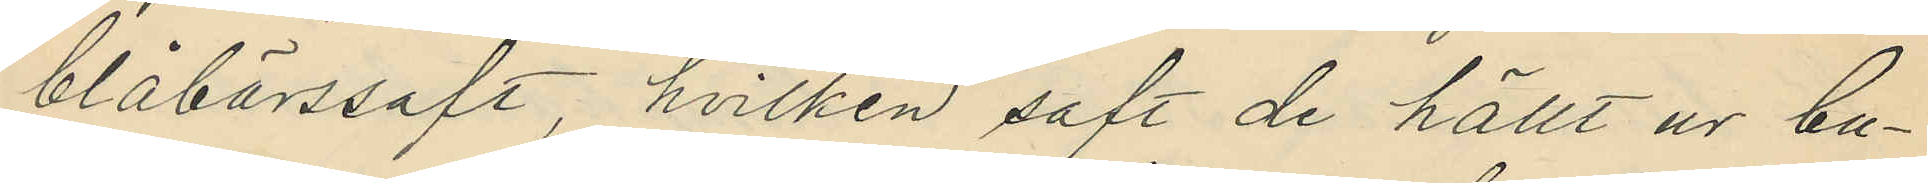blåbärssaft, hvilken saft de hållt ur bu¬
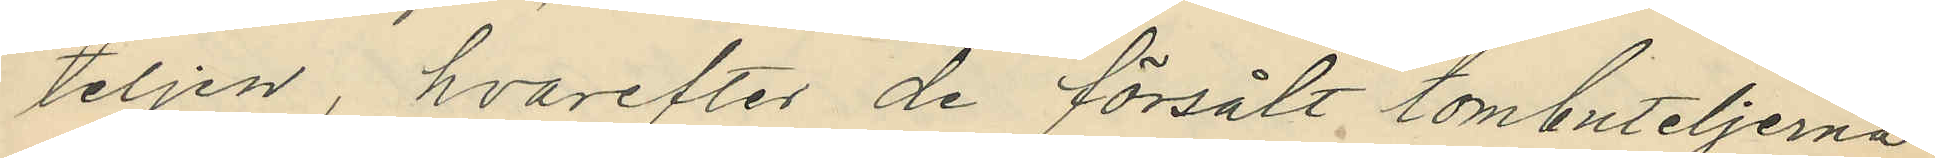teljen, hvarefter de försålt tombuteljerna
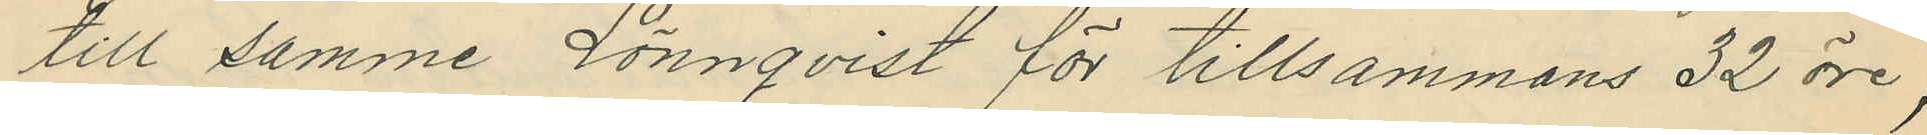till samme Lönnqvist för tillsammans 32 öre,
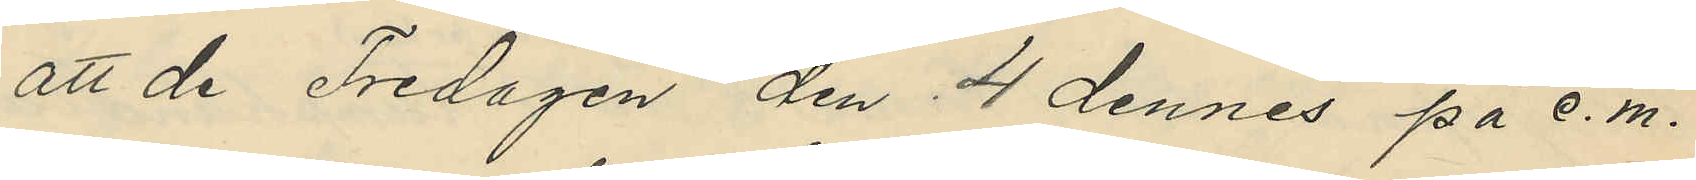att de Fredagen den 4 dennes på e.m.
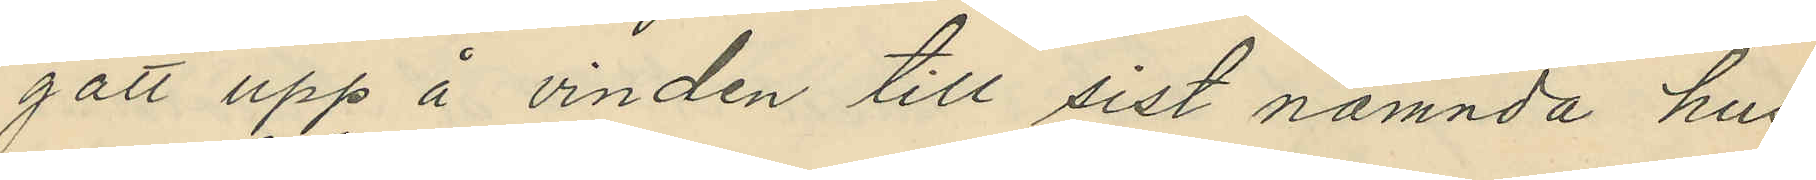gått upp å vinden till sist nämnda hus
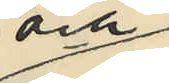och
